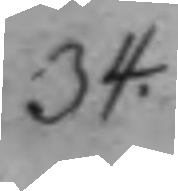34.
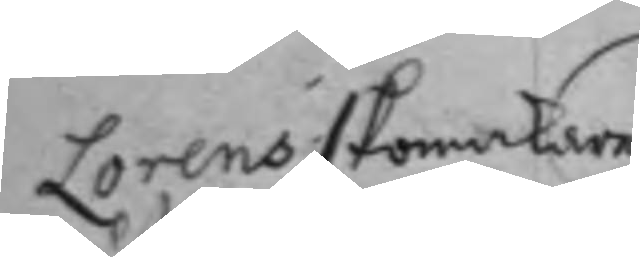Lorens skomakare
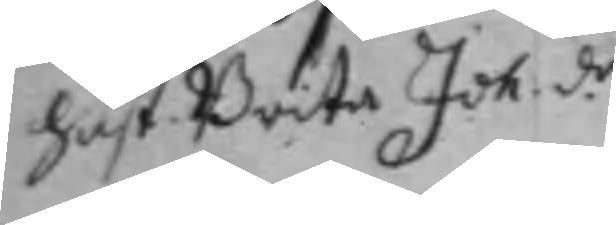hust Brita Joh.d.r 
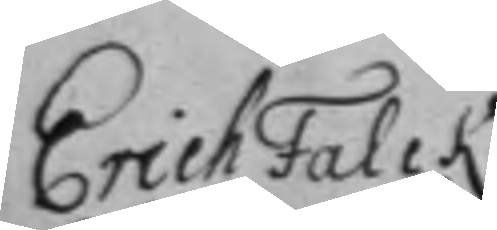Erich Falck
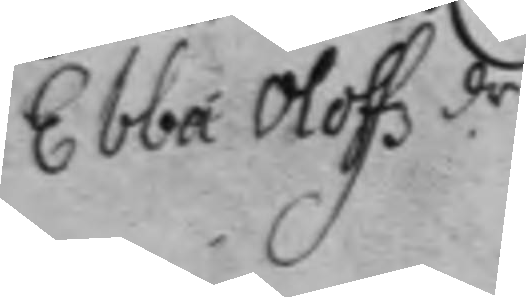Ebba Olofz dr 
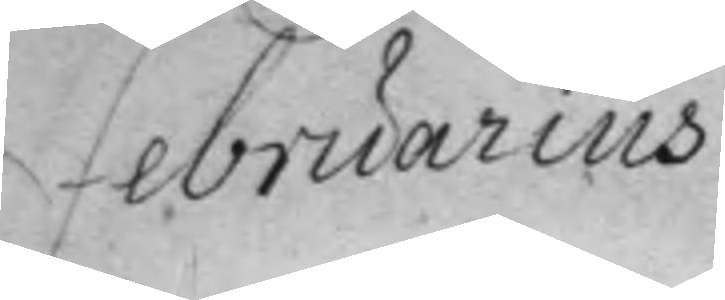Februarius
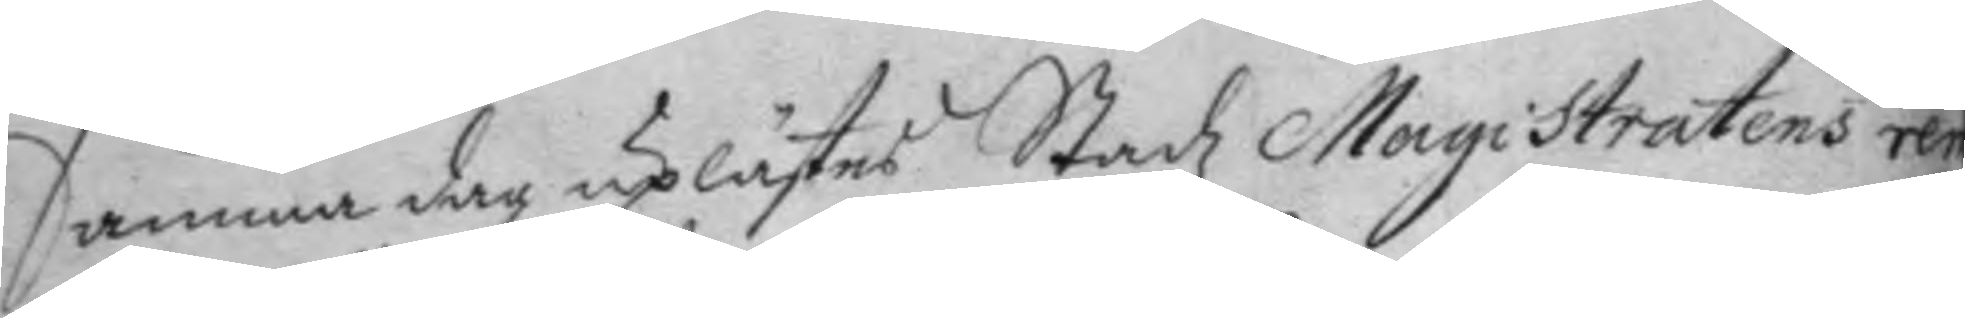Samma dag uplästes Stadz Magistratens rem
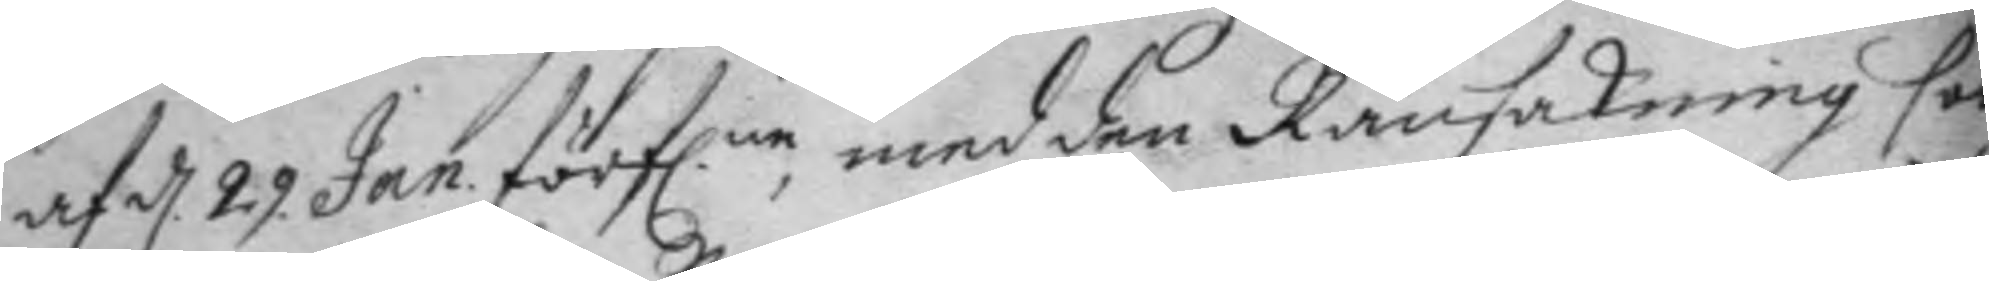af d 29 Jan förflne, med den Ransakning förd 
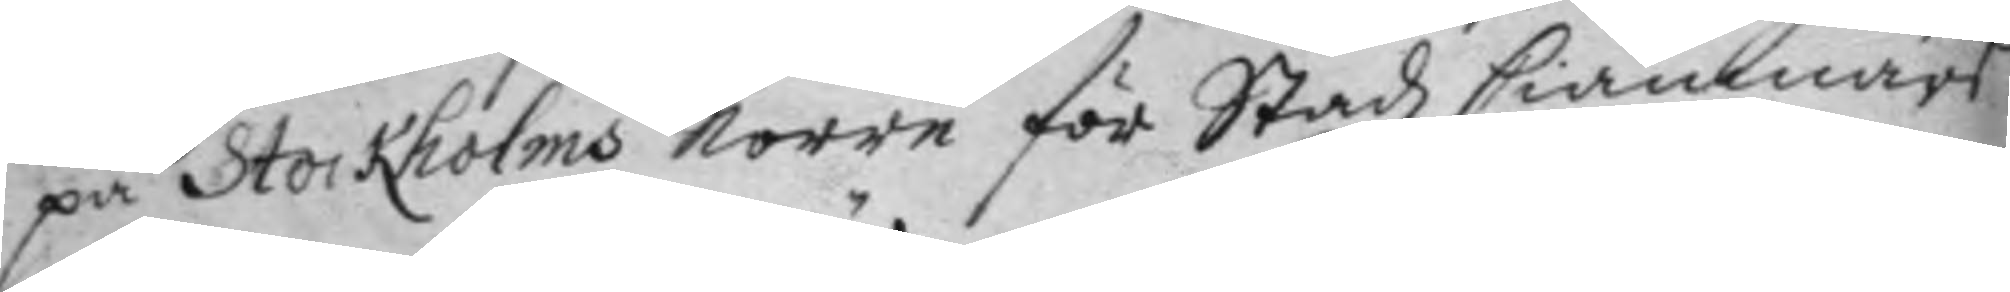på Stockholms Norre för Stadz Ciämnärs
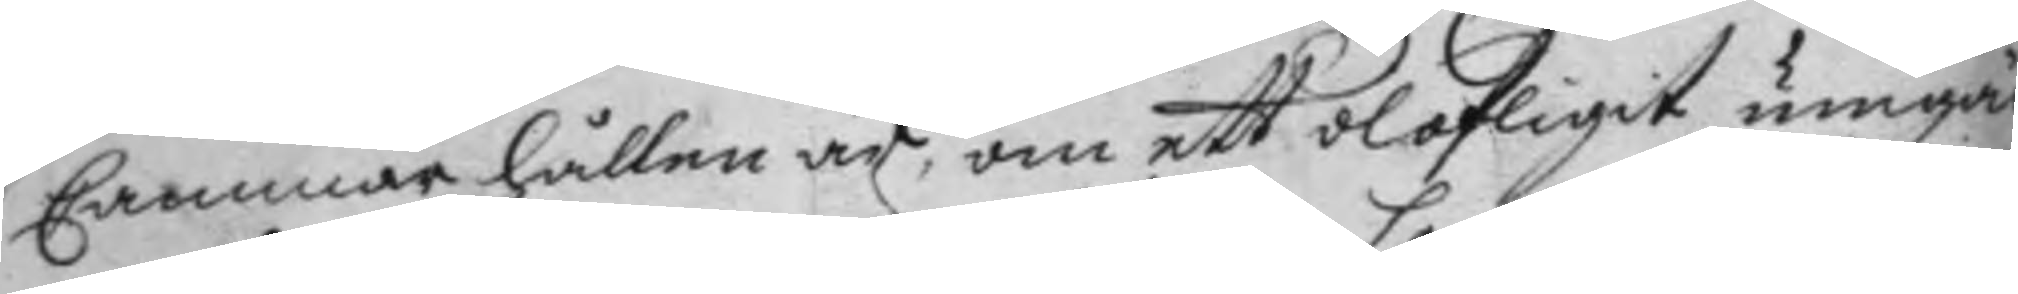Cammar hållen är, om ett olofligit umgäng
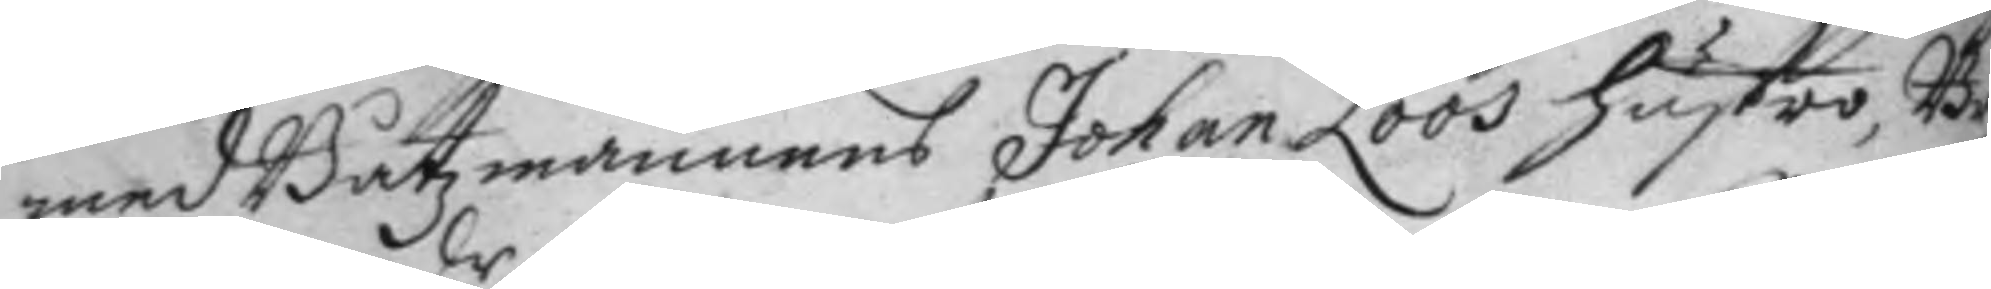med Båtzmannens Johan Loos hustro, Bri
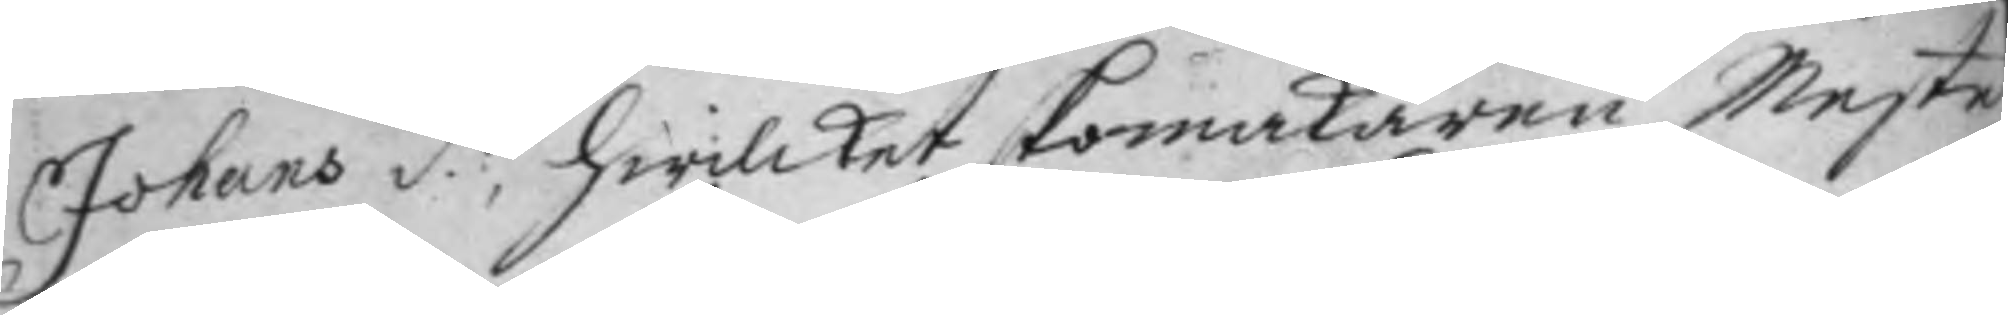Johans d.r, hwilket skomakaren Mester 
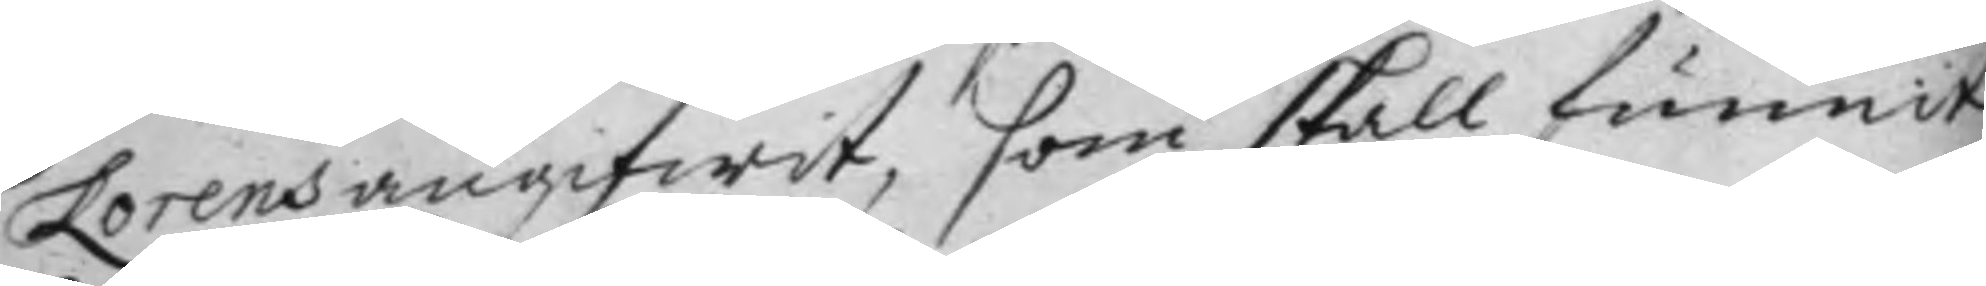Lorens angifwit, som skall funnit
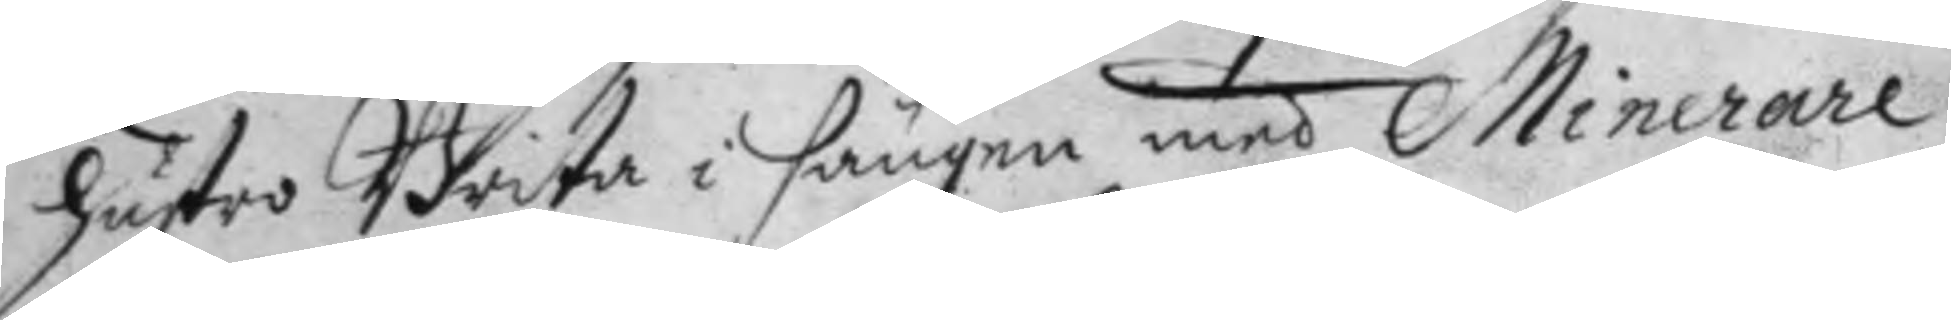hustro Brita i sängen med Minerare.
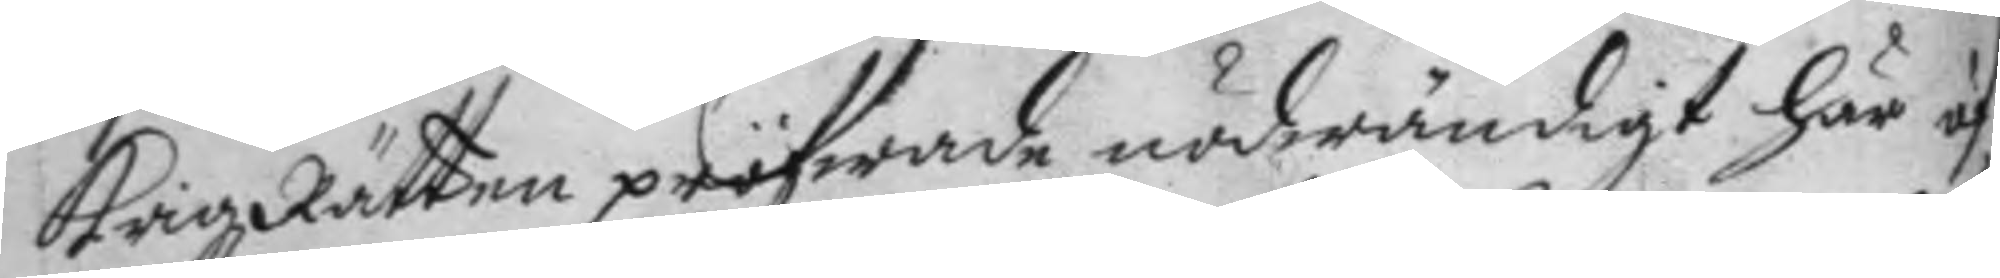KrigzRätten pröfwade nödwändigt här öf¬
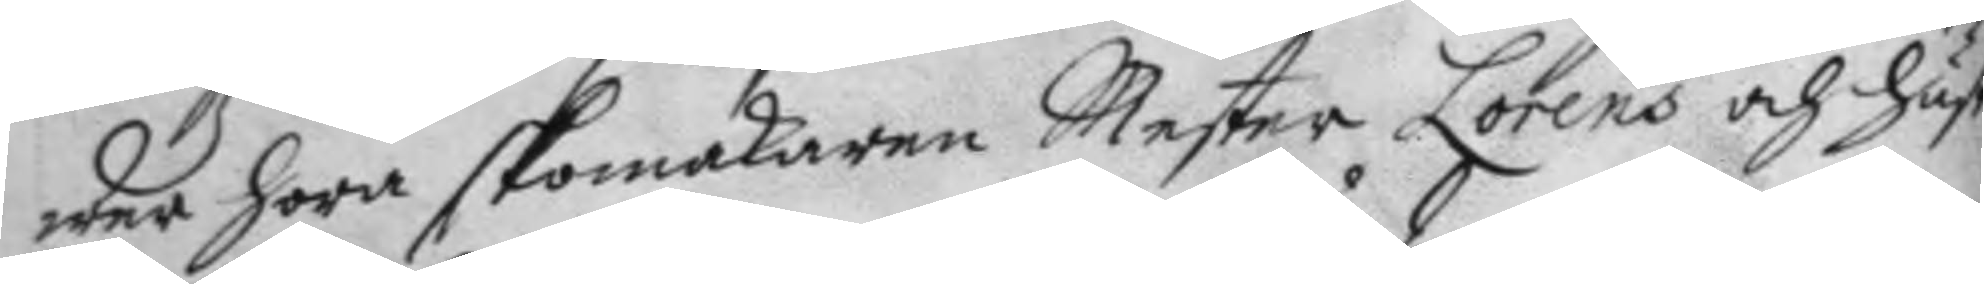wer höra skomakaren Mester Lorens och hust
